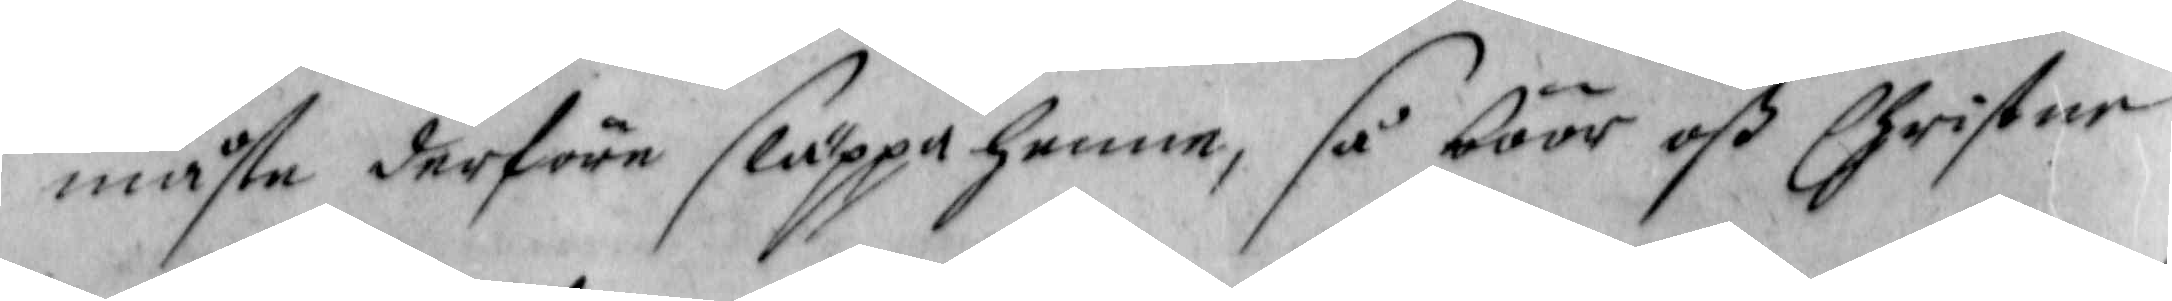måste derföre släppa henne, så böör oß Christne
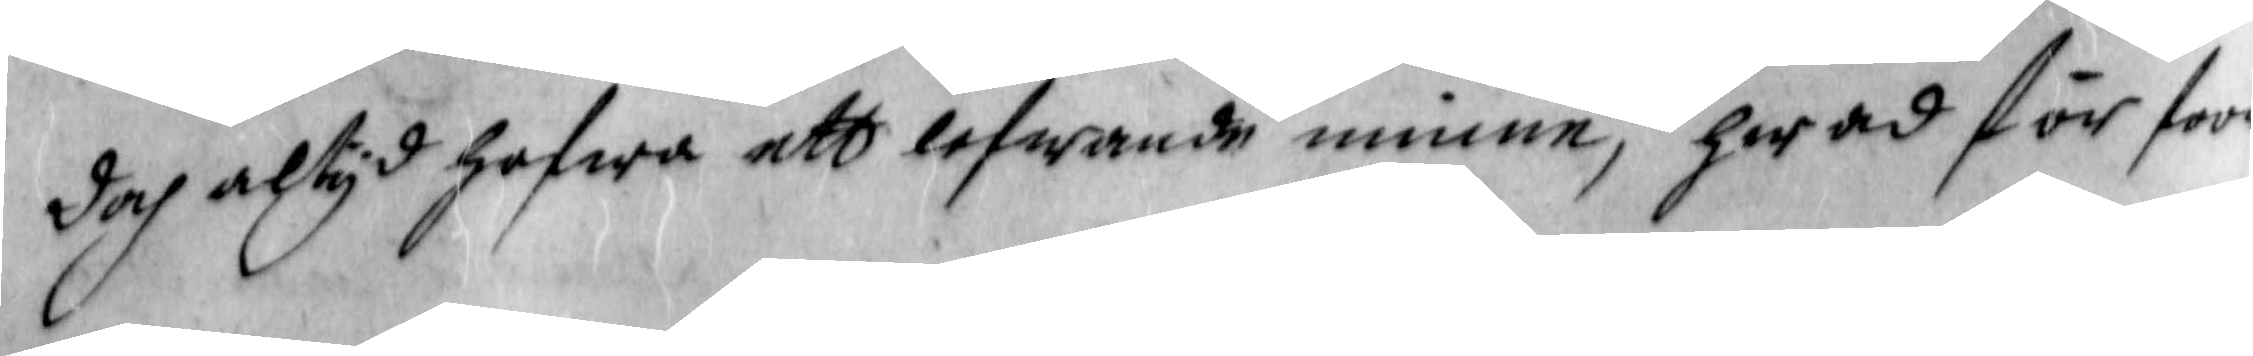doch altyd hafwa ett lefwande minne, hwad för stoor
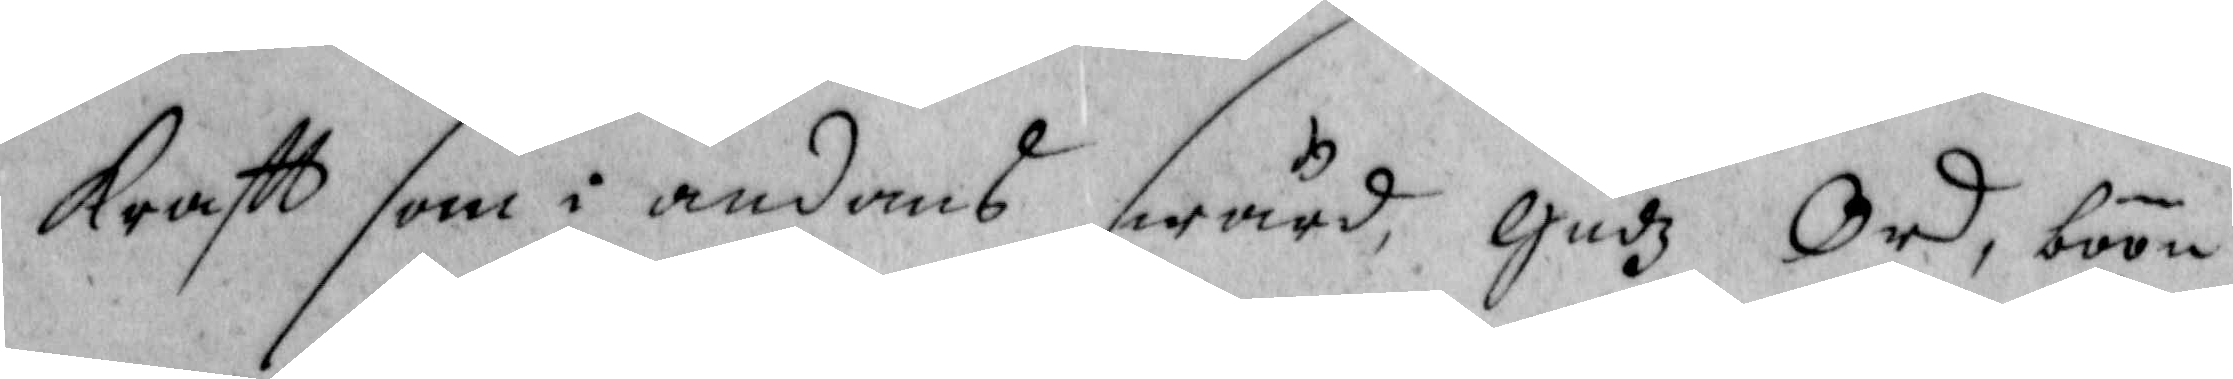kraftt som i andans swärd, Gudz Ord, böön
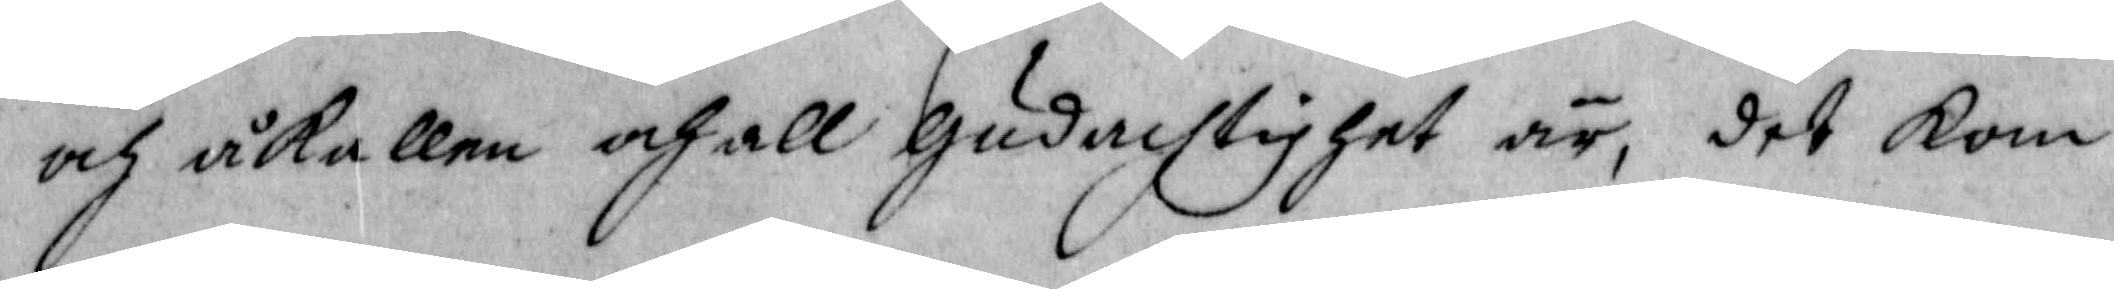och åkallan och all gudachtighet är, det kom
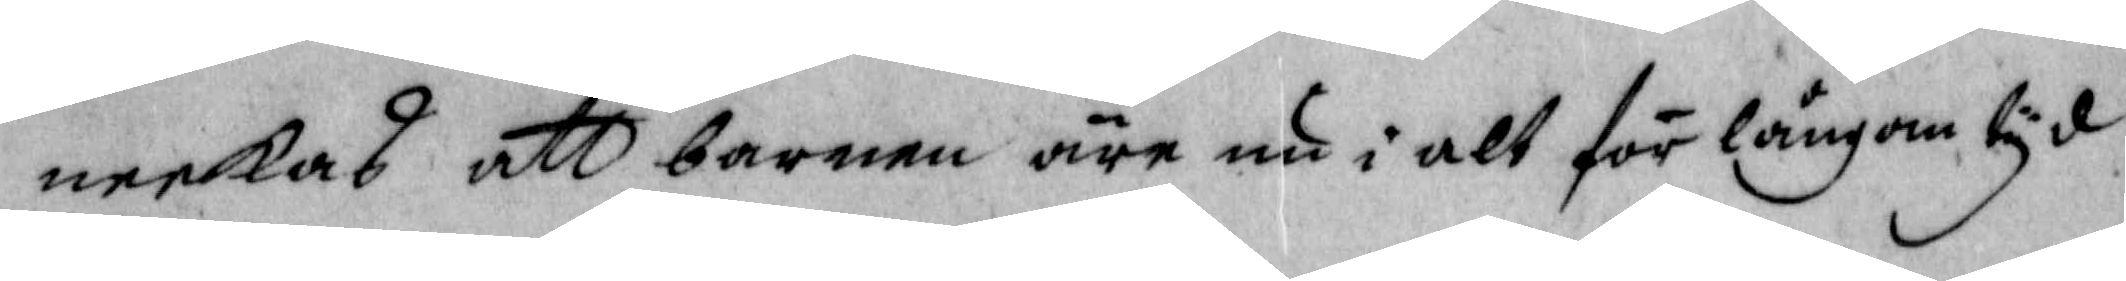neekas att barnen äre nu i alt för långom tyd
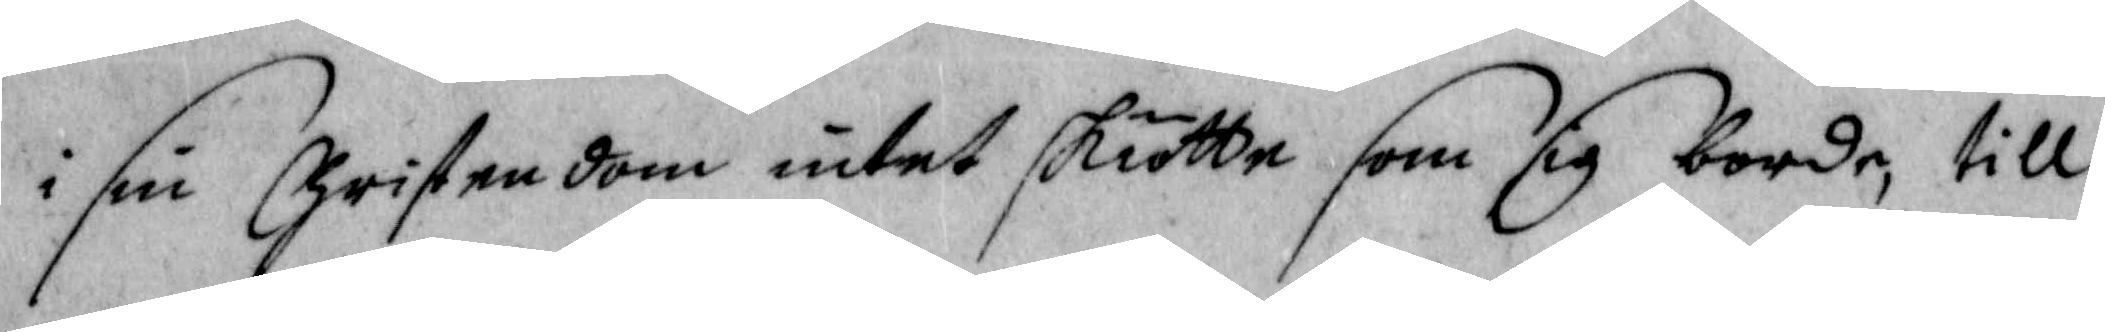i sin Christendom intet skiötte som sig borde, till
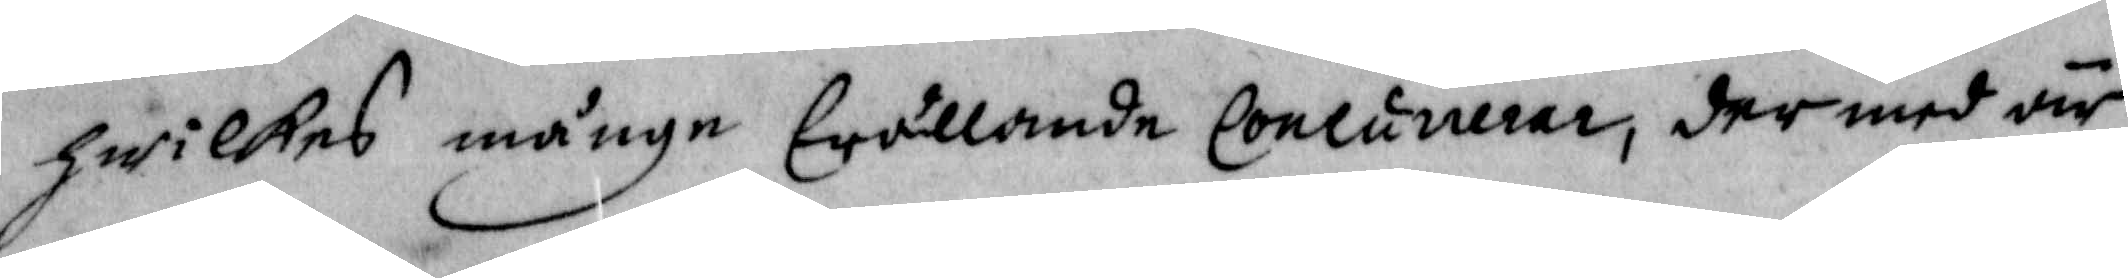hwilkes månge Envällande Concunerer, der med är
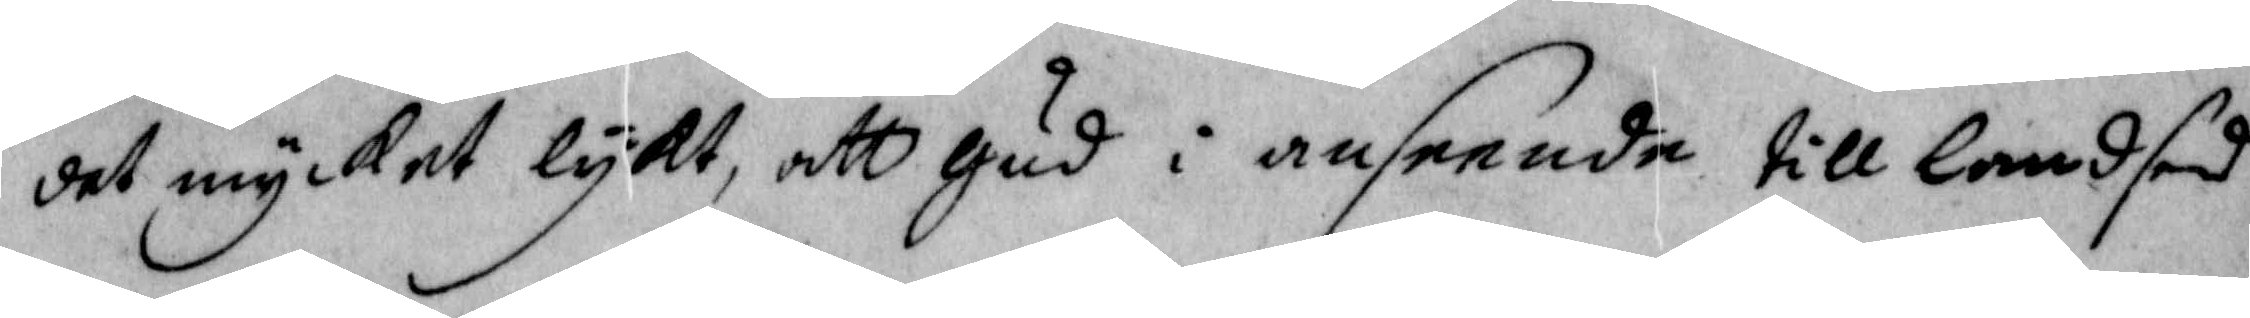det mycket lykt, att gud i anseende till landsens
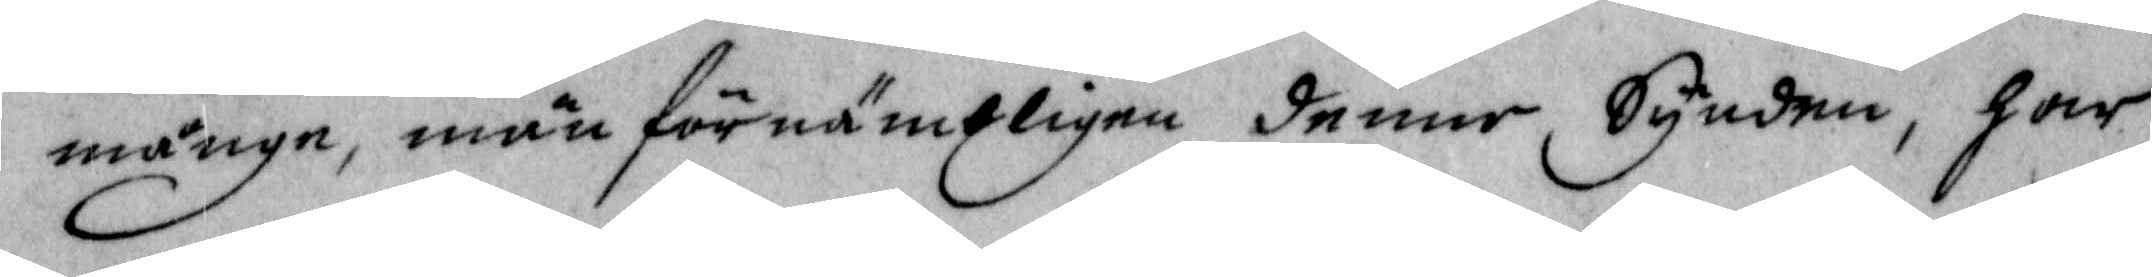månge, män förnämtligen denne Synden, har
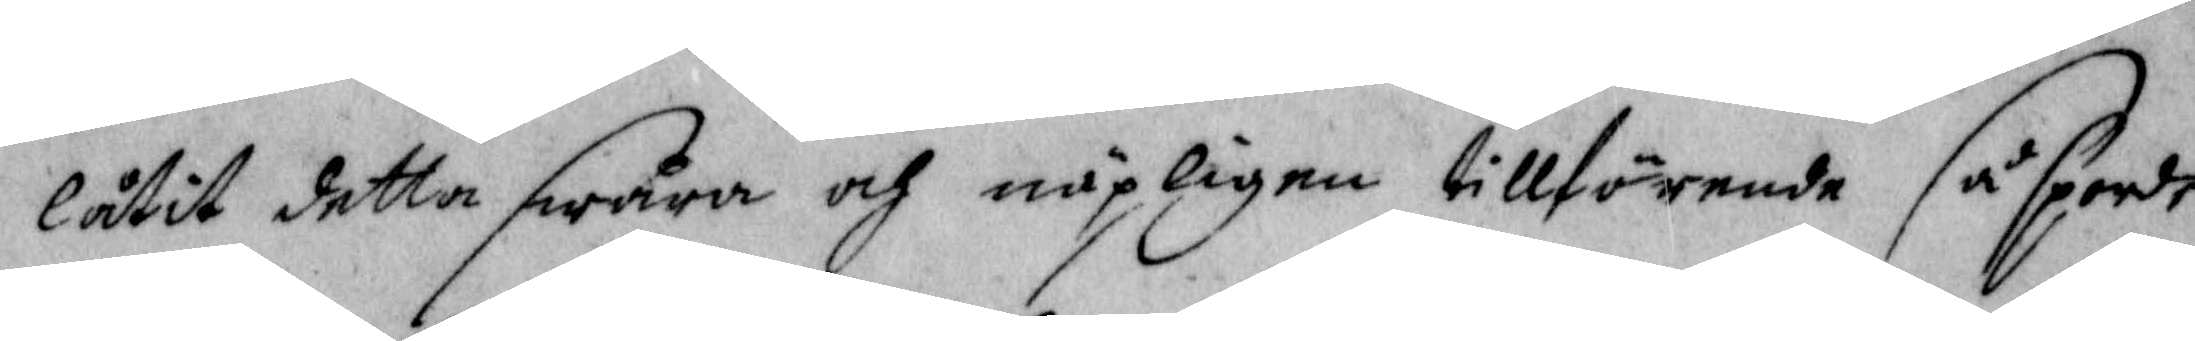låtir detta swåra och näpeligen tillförende så sporde
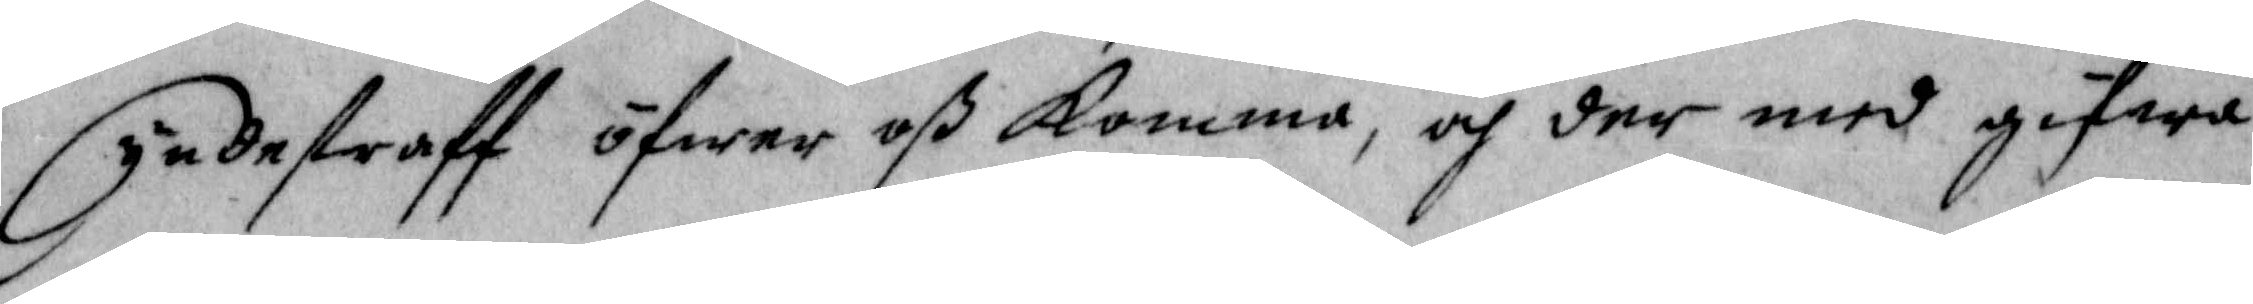Syndestraff öfwer oß komma, och der med gifwa
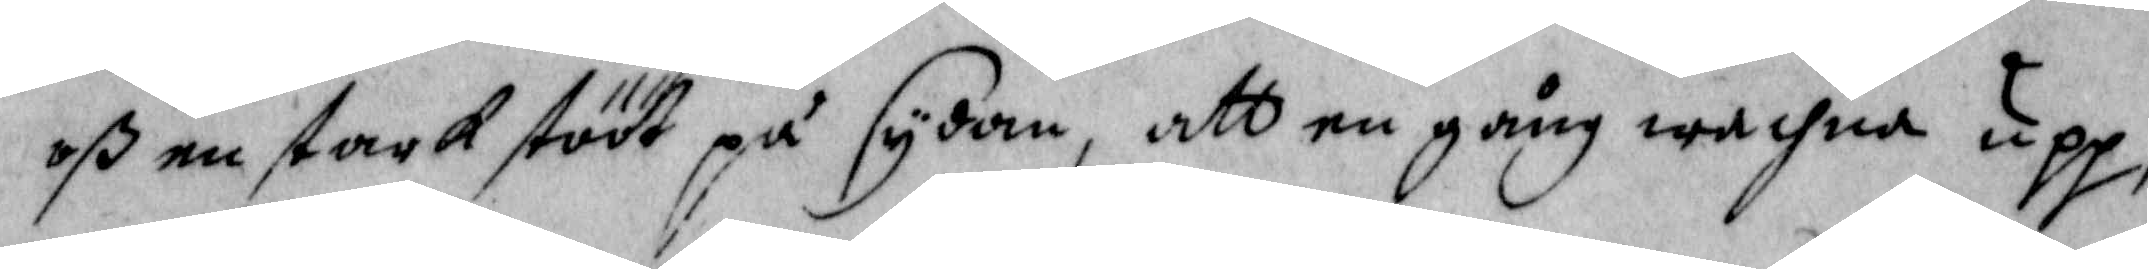oß en stark stööt på sydan, att en gång wachna upp,
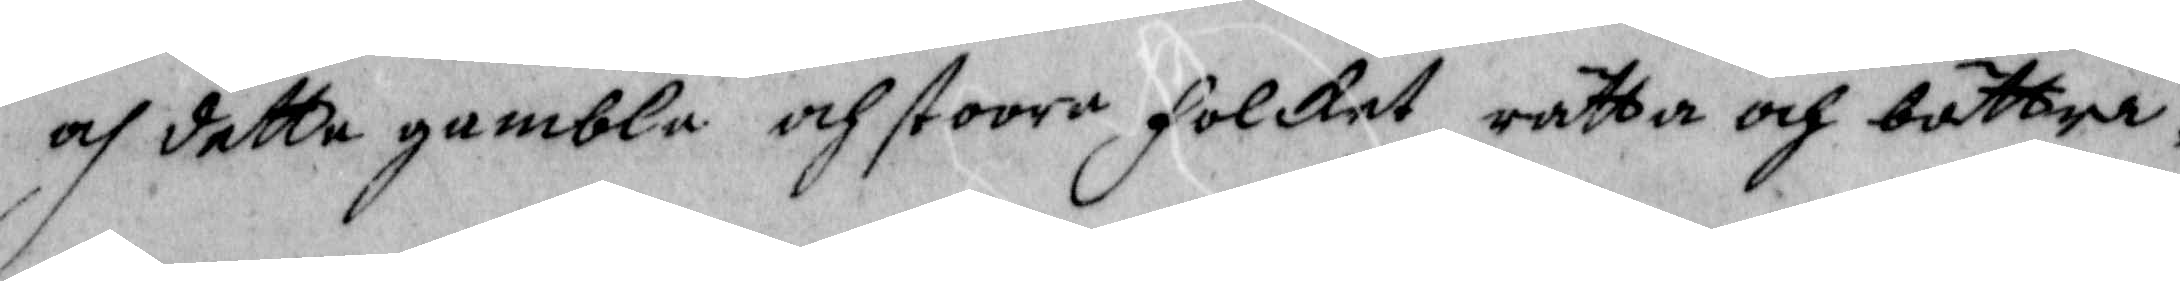och detta gambla och stoora Folcket rätta och bättra.
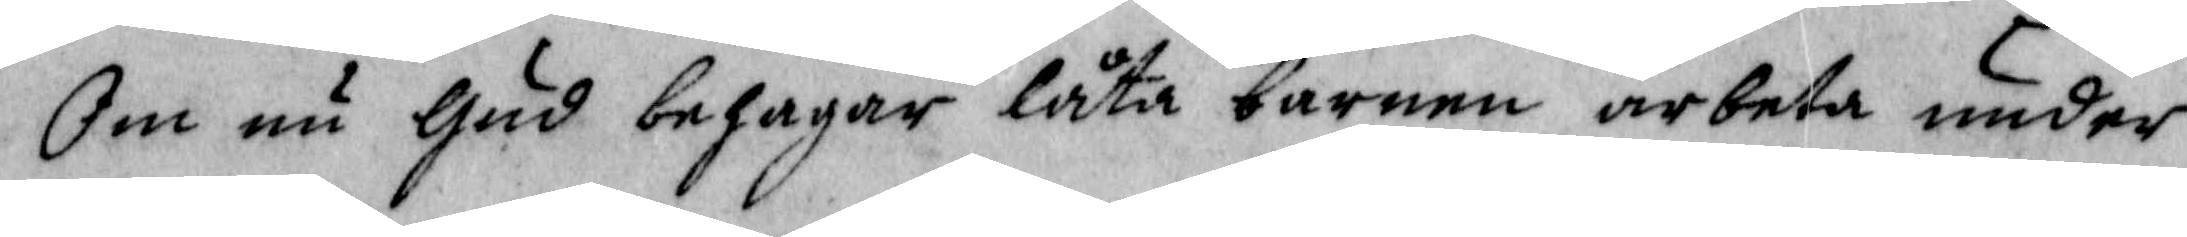Om nu Gud behagar låta barnen arbeta under
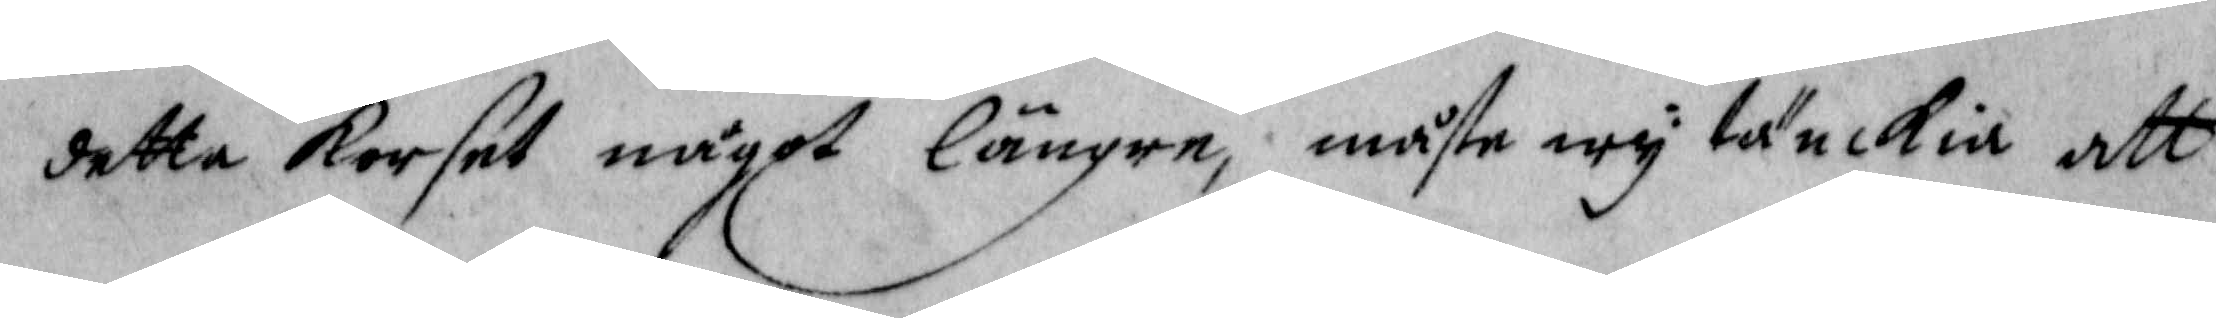detta korset något längre, måste wy tänckia att
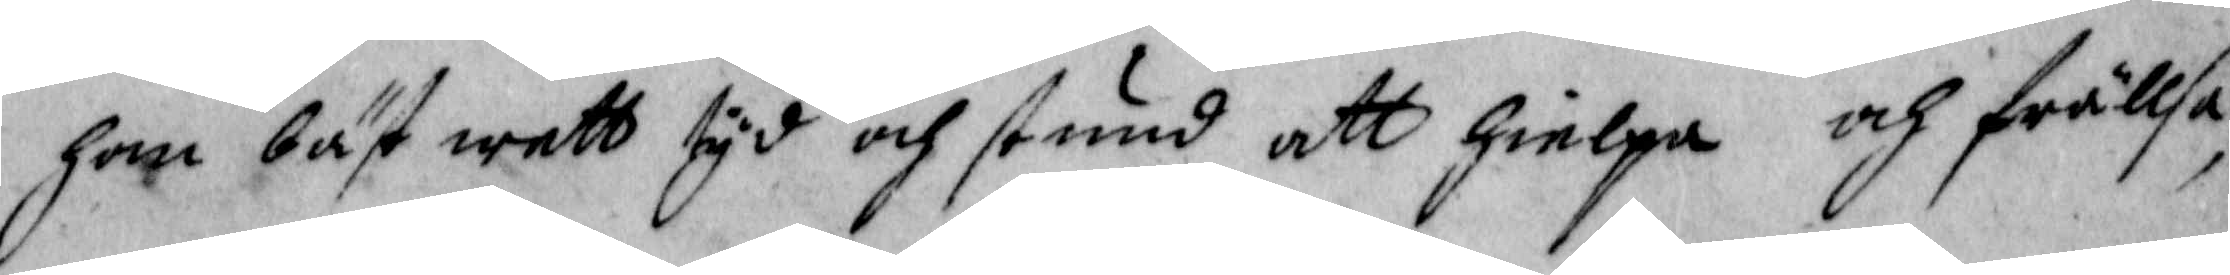han bäst wett tyd och stund att hielpa och frällsa
